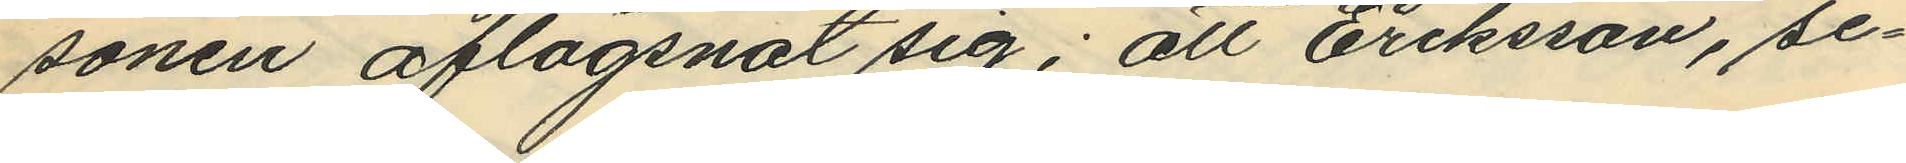sonen aflägsnat sig; att Eriksson, se¬
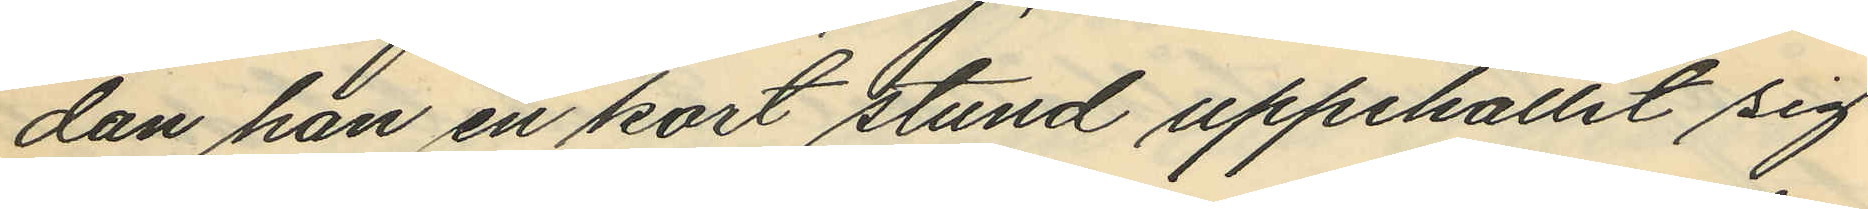dan han en kort stund uppehållit sig
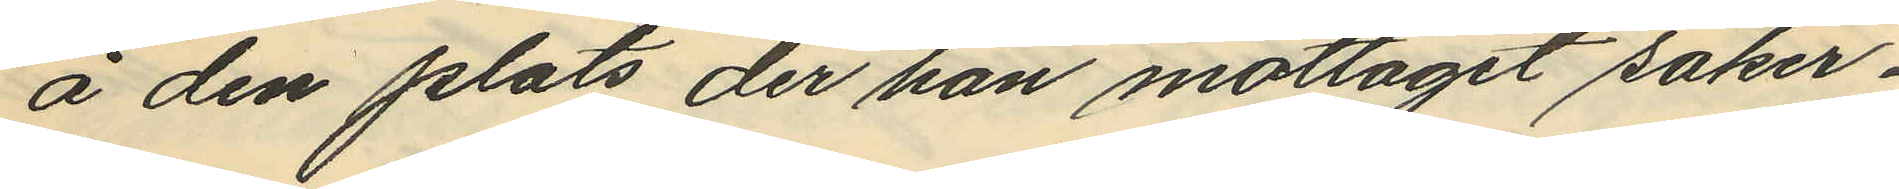å den plats, der han mottagit saker¬
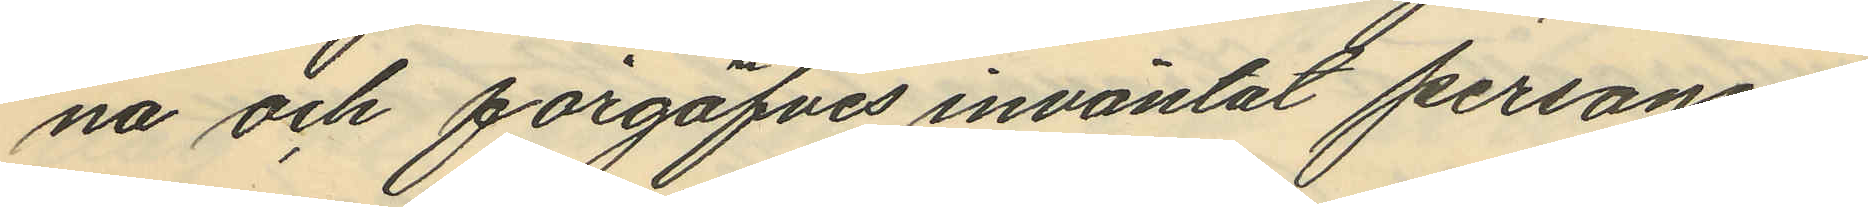na och förgäfves inväntat personen,
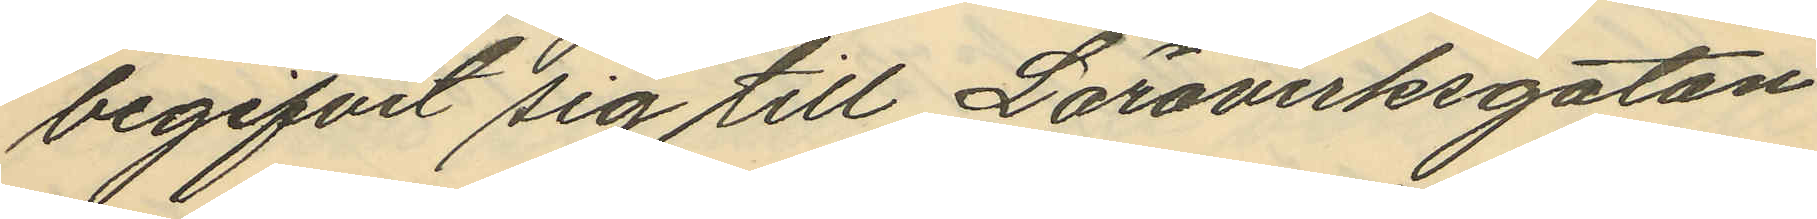begifvit sig till Läroverksgatan
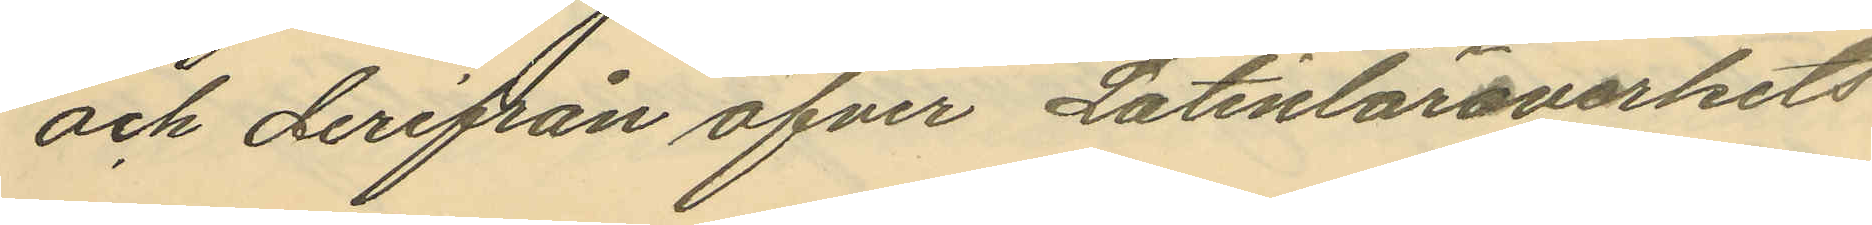och derifrån öfver Latinläroverkets
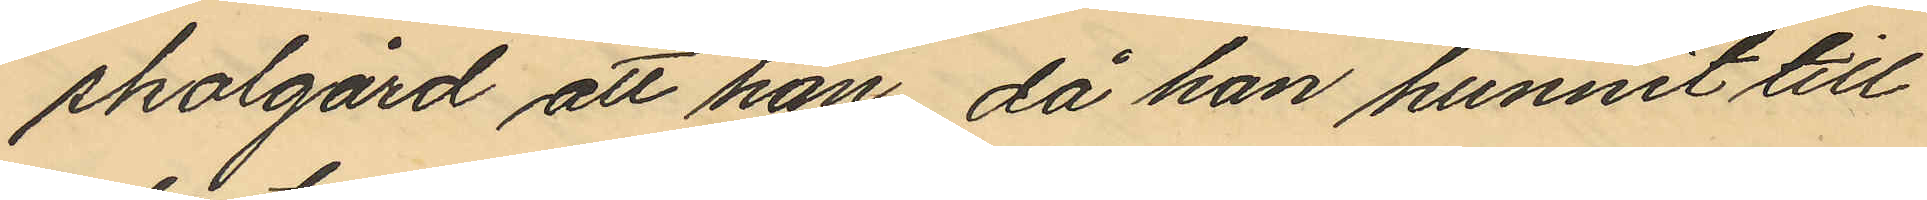skolgård att han, då han hunnit till
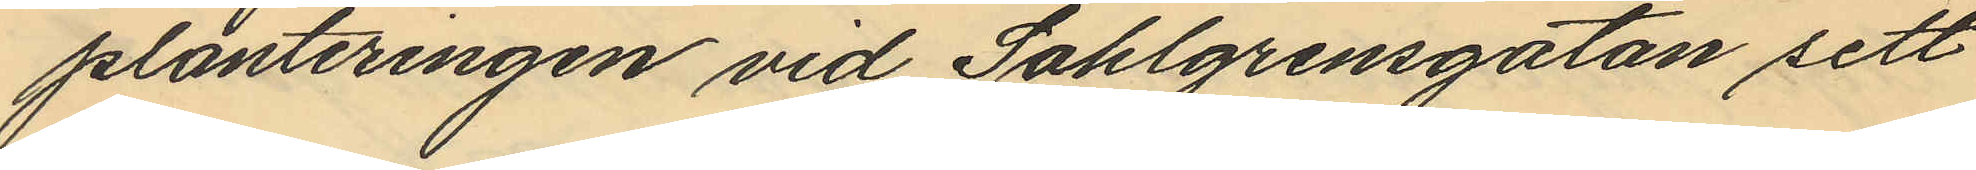planteringen vid Sahlgrensgatan sett
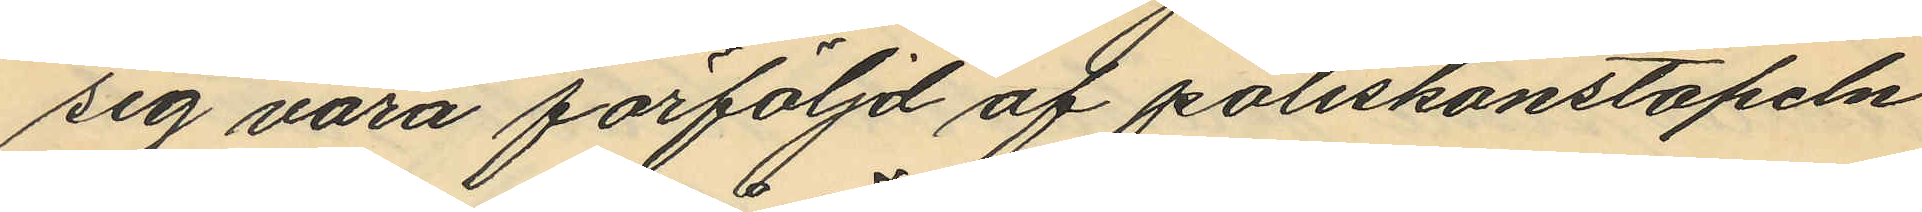sig vara förföljd af poliskonstapeln
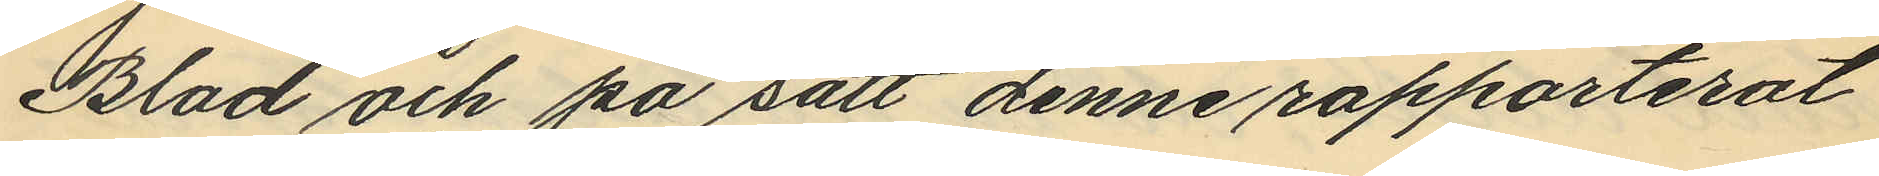Blad och på sätt denne rapporterat
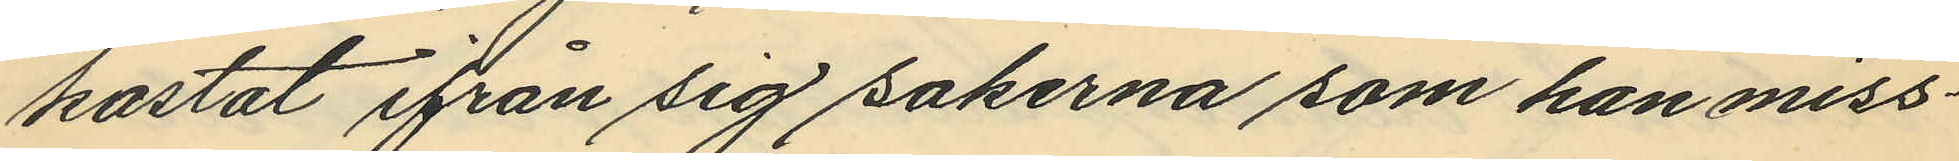kastat ifrån sig sakerna som han miss¬
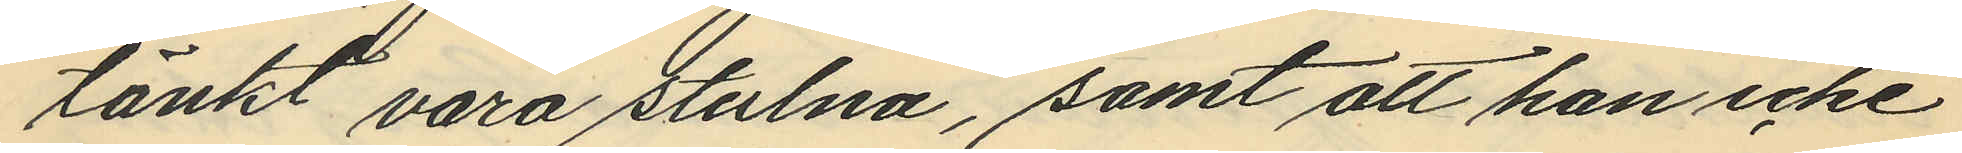tänkt vara stulna, samt att han icke
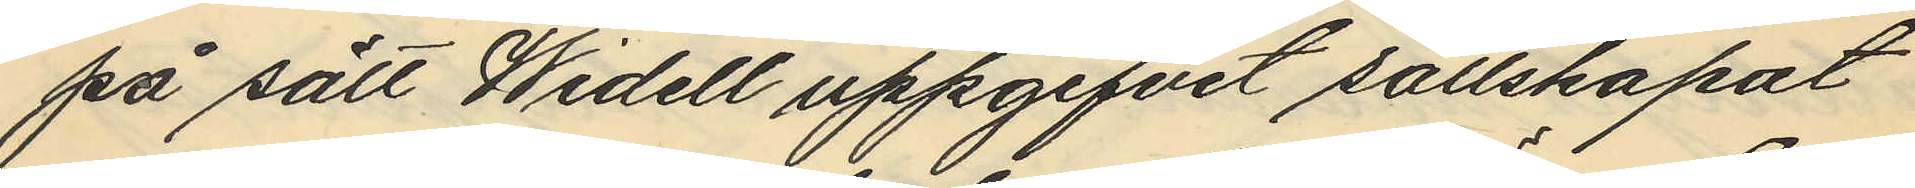på sätt Widell uppgifvit sällskapat
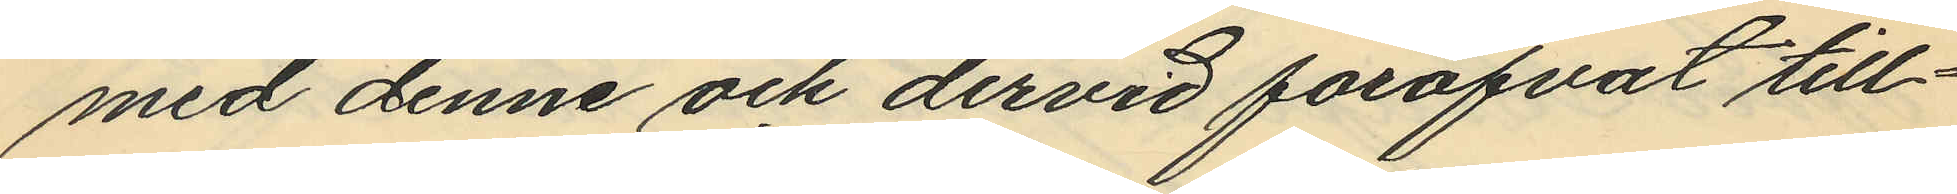med denne och dervid föröfvat till¬
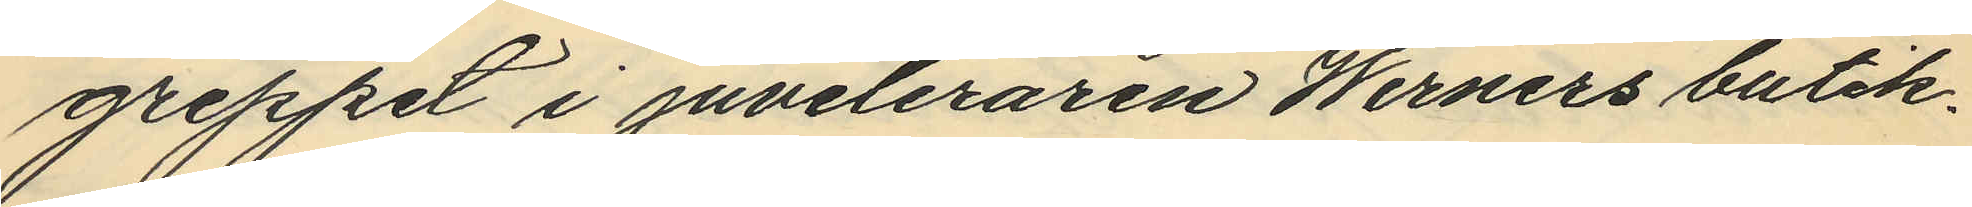greppet i juveleraren Werners butik.
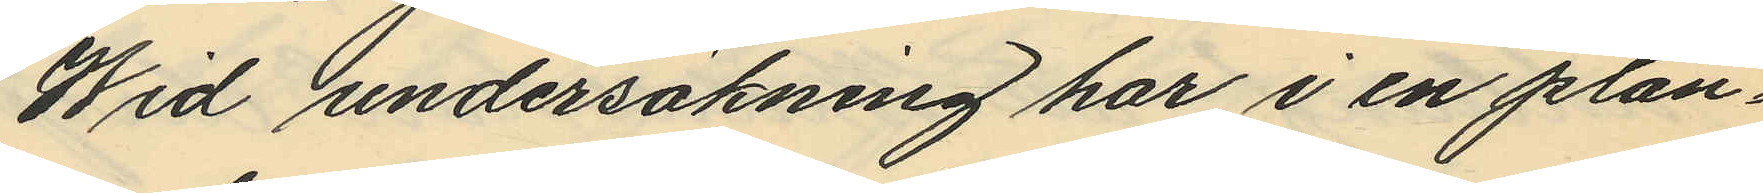Wid undersökning här i en plan¬
